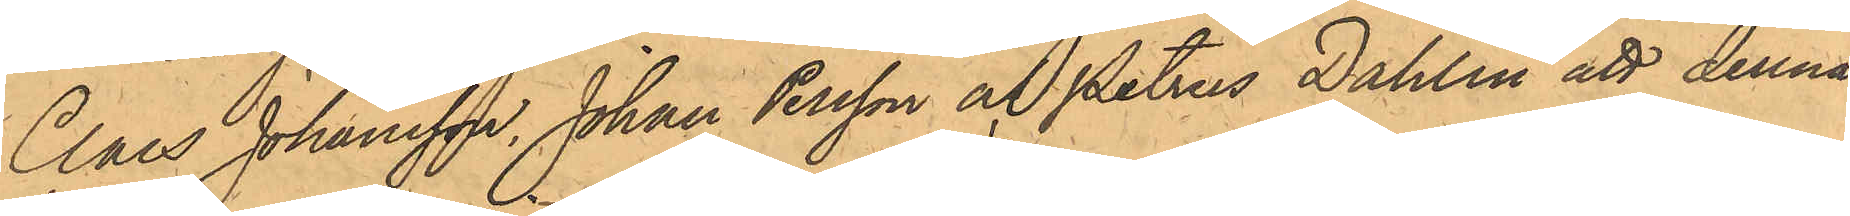Claes Johansson, Johan Persson och Petrus Dahlin att denna
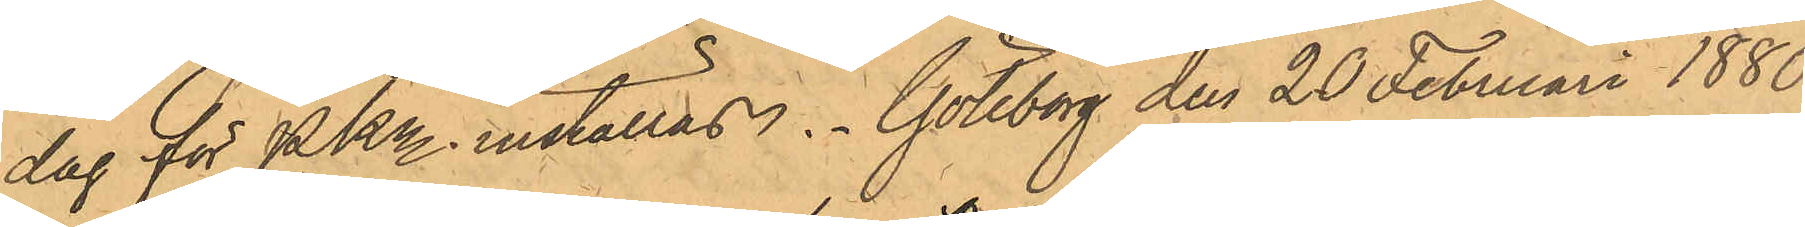dag för PKn inställas. Göteborg den 20 Februari 1880.
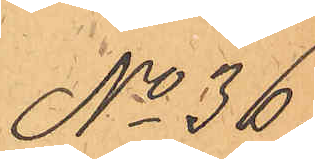No 36.
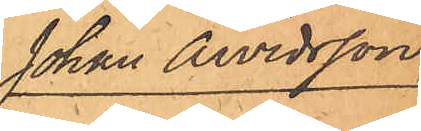Johan Arvidsson
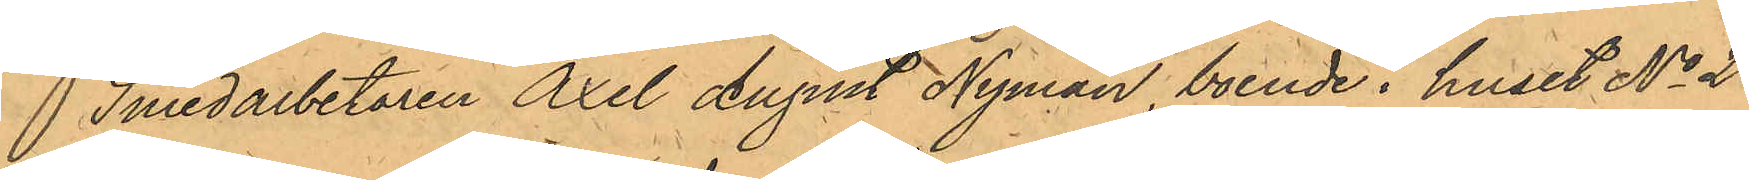Smedarbetaren Axel August Nyman, boende i huset No 22
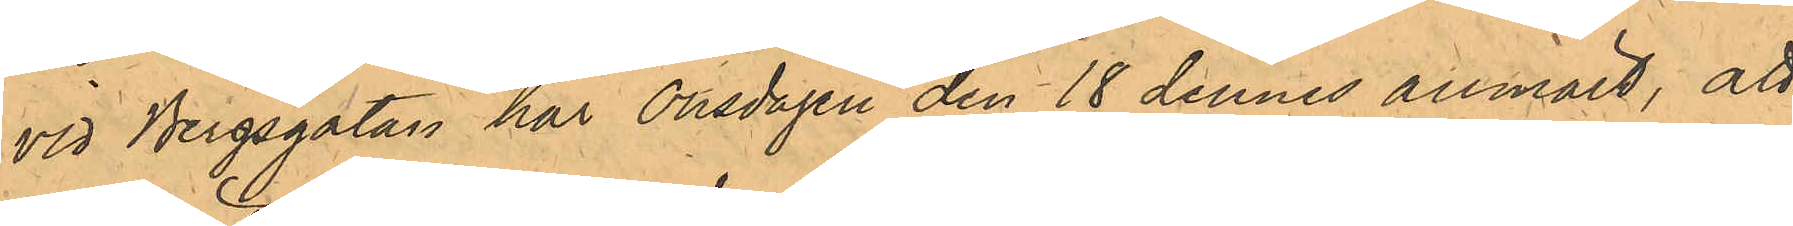vid Bergsgatan har Onsdagen den 18 dennes anmält, att
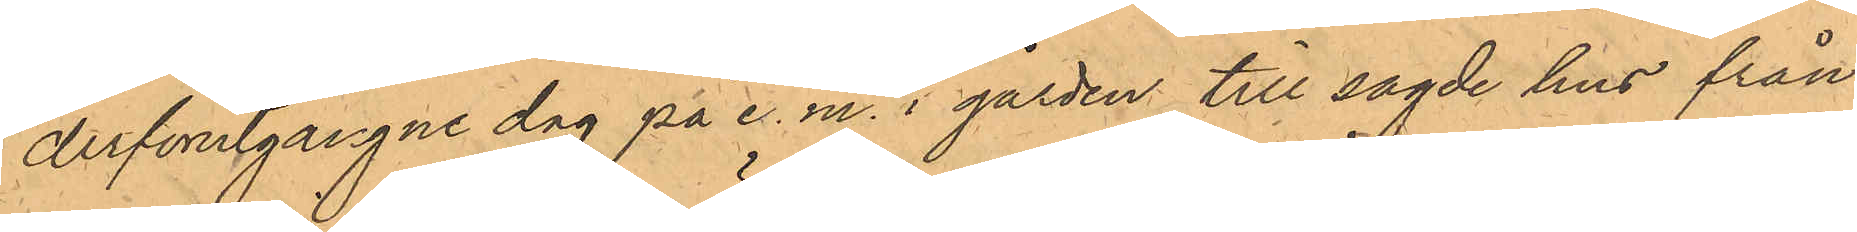derförgångne dag på e.m. i gården till sagde hus från
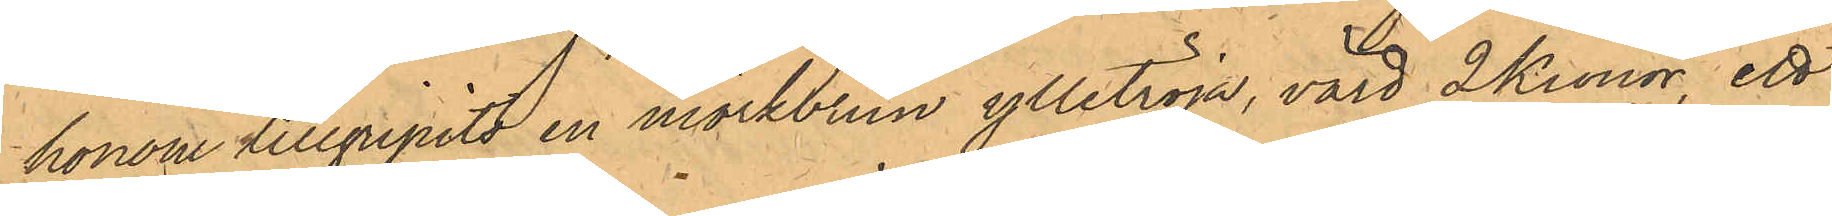honom tillgripits en mörkbrun ylletröja, värd 2 Kronor, ett
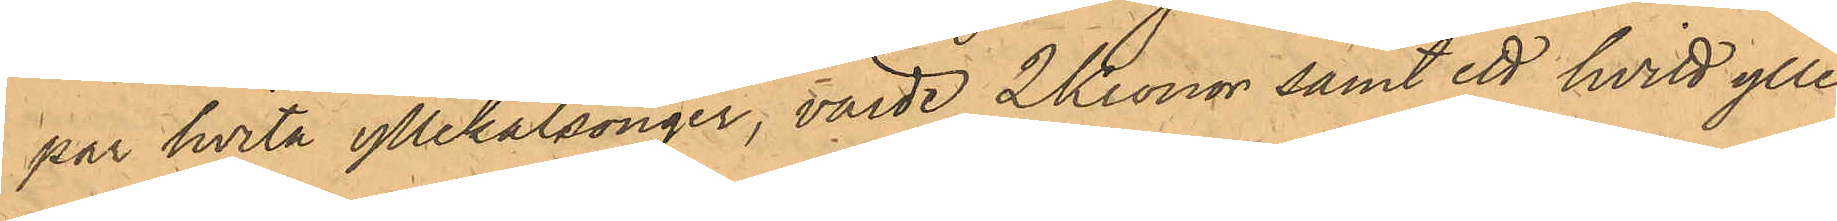par hvita yllekalsonger, värde 2 Kronor samt ett hvitt ylle¬
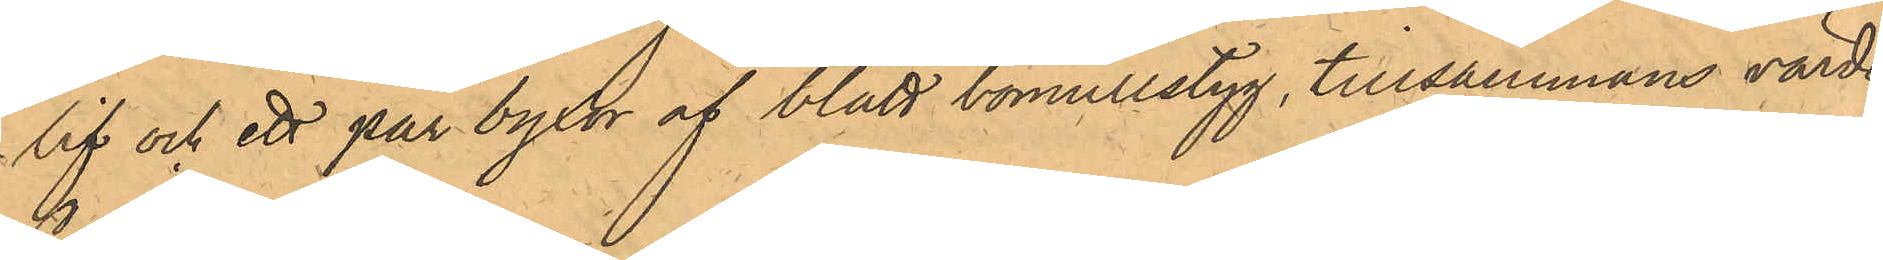lif och ett par byxor af blått bomullstyg, tillsammans värde
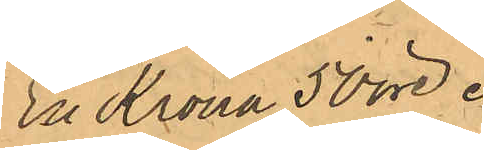En Krona 50 öre,
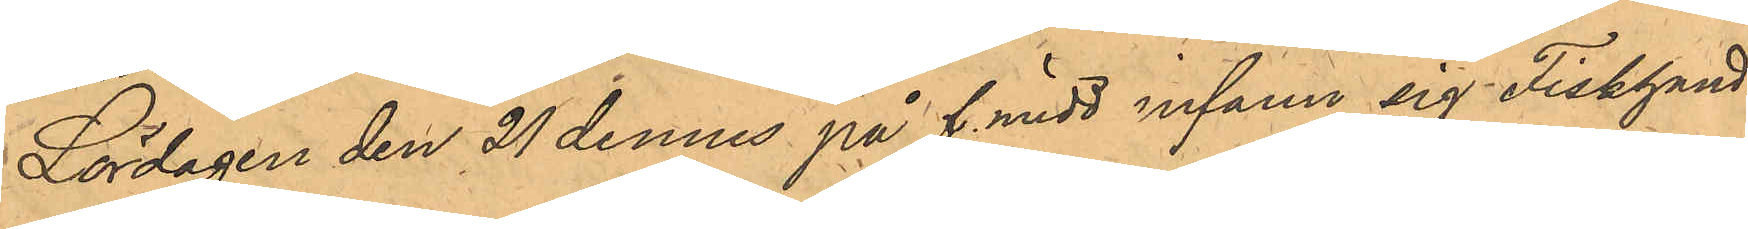Lördagen den 21 dennes på f.midd infann sig Fiskhand¬
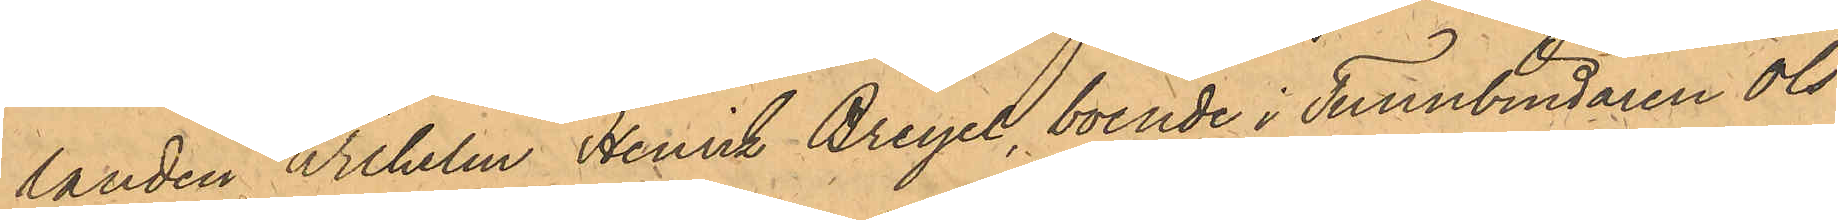landen Wilhelm Henrik Breyel, boende i Tunnbindaren Ols¬
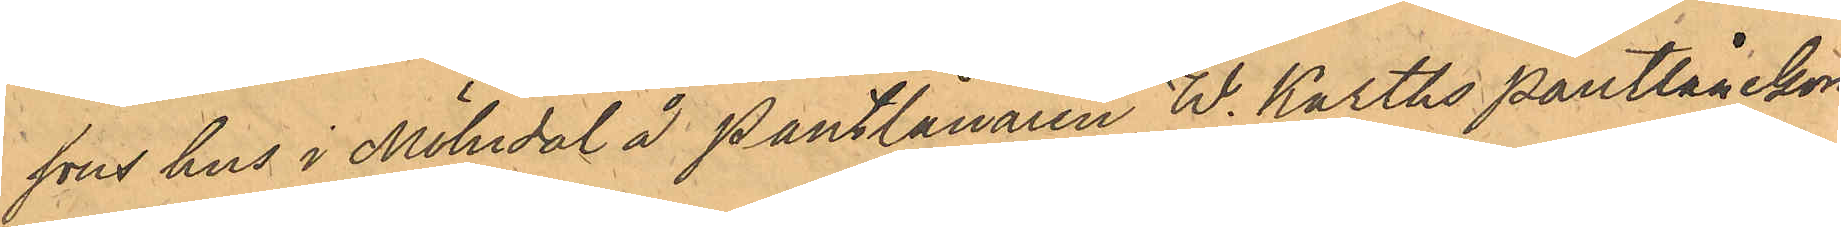sons hus i Mölndal å Pantlånaren W. Karths Pantlånekon¬
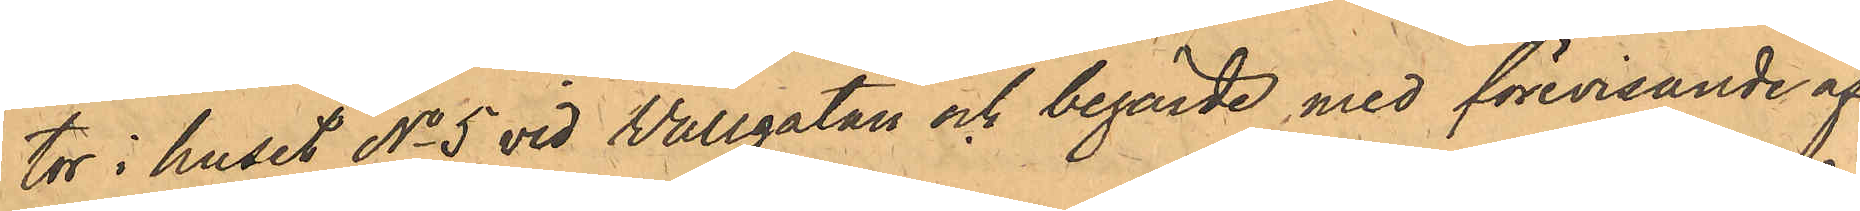tor i huset No 5 vid Vallgatan och begärde med förevisande af
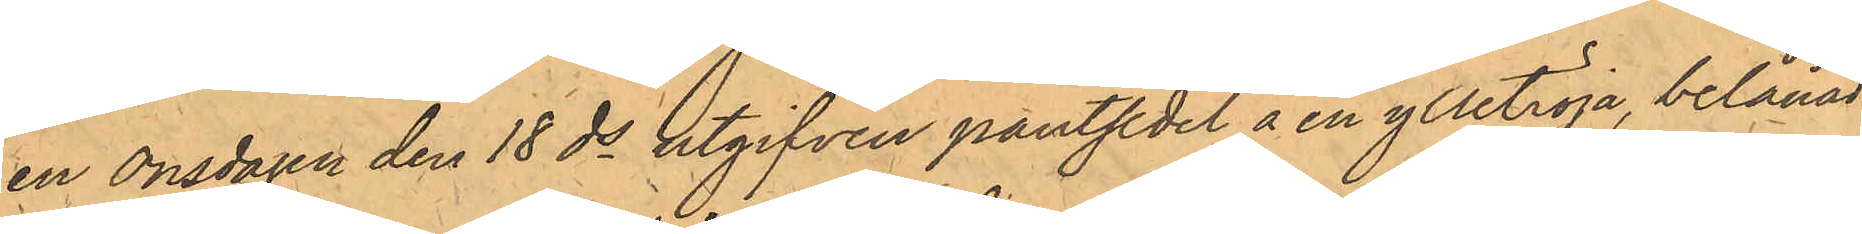en Onsdagen den 18 ds utgifven pantsedel å en ylletröja; belånad 
